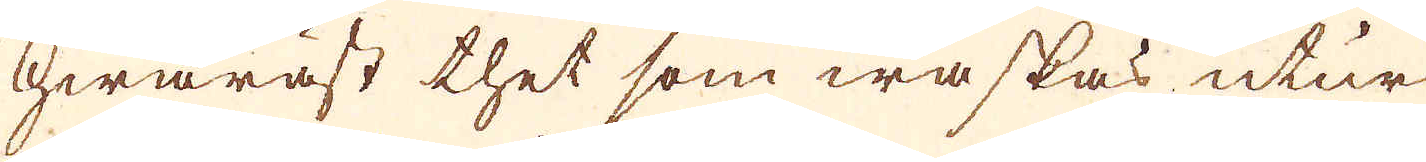hwaräst thet som waskas utur
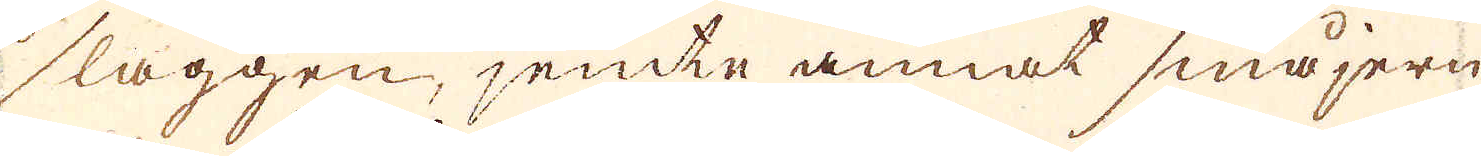slaggen, jemte annat småjern
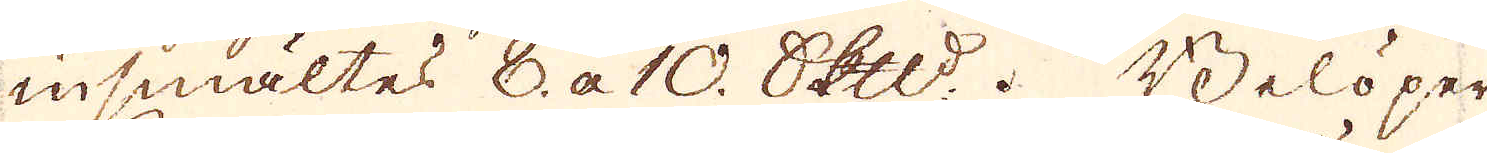insmältes 8. a 10. Skeppund. Belöper
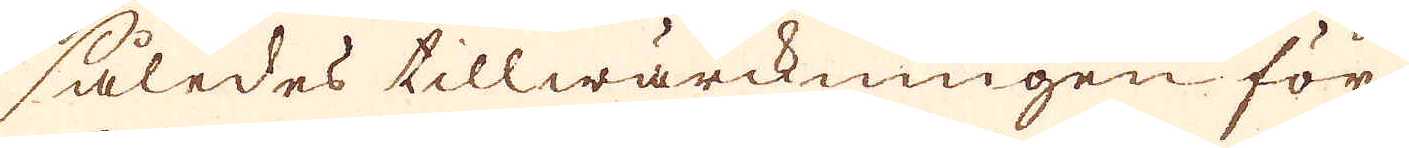således tillwärckningen för
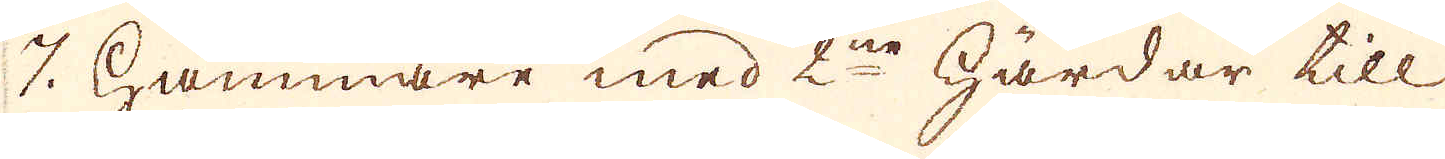7. hammare med 2ne härdar till
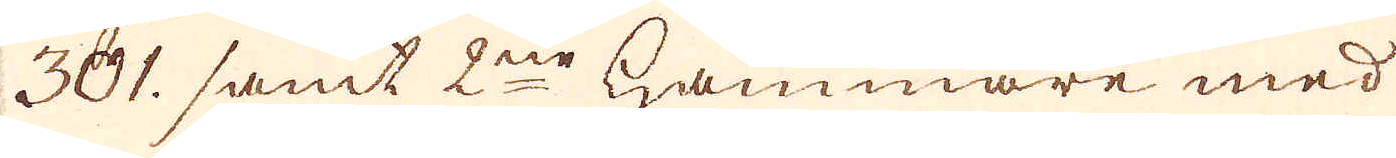301. samt 2ne hammare med
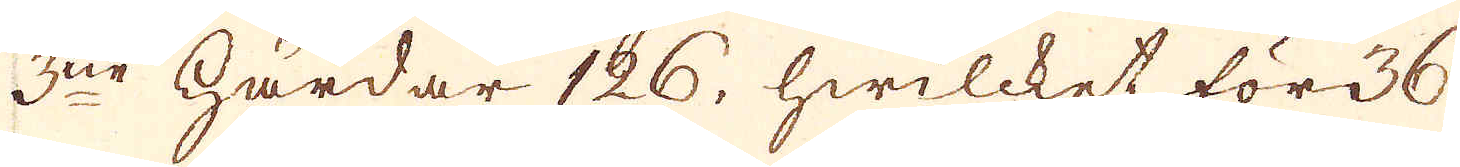3ne härdar 126, hwilcket för 36.
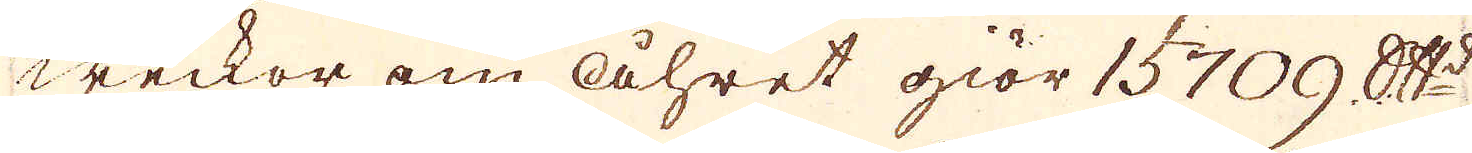weckor om åhret giör 15709 Skeppund
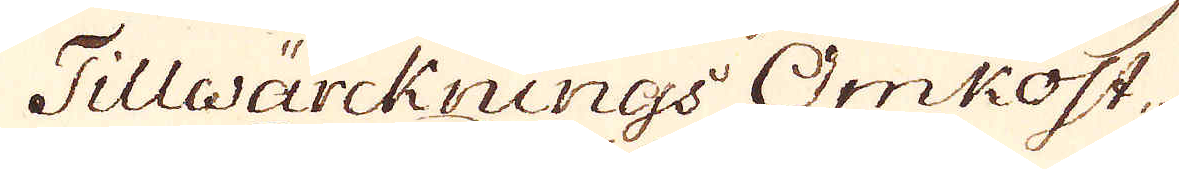Tillwärcknings Omkost,
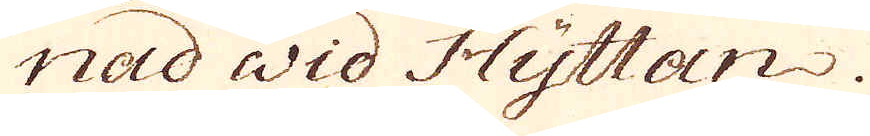nad wid Hyttan.
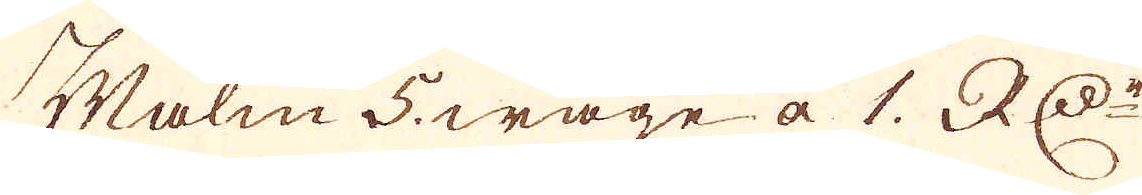Malm 5. wage à 1. RD:r
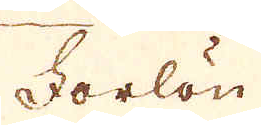Forlön
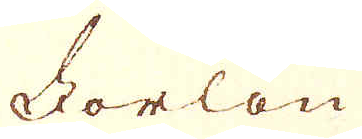Forlön
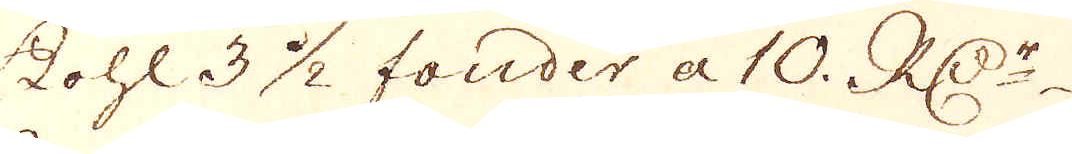Kohl 3 1/2 fonder a 10. RD:r
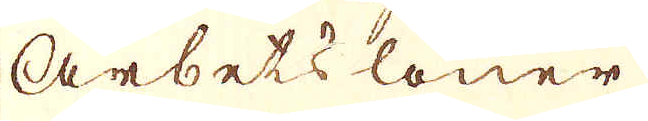Arbets löner
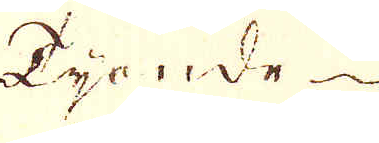Tionde
